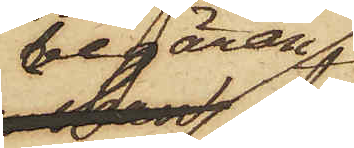begäran,
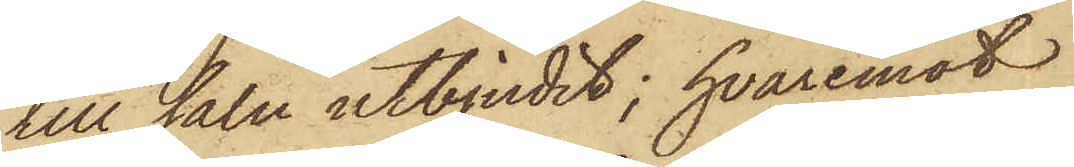till salu utbjudit; hvaremot
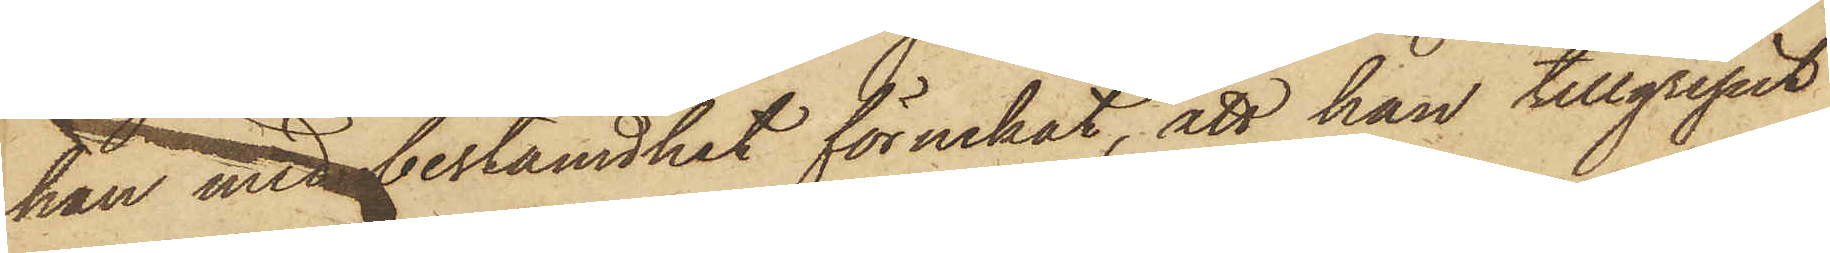han med bestämdhet förnekat, att han tillgripit
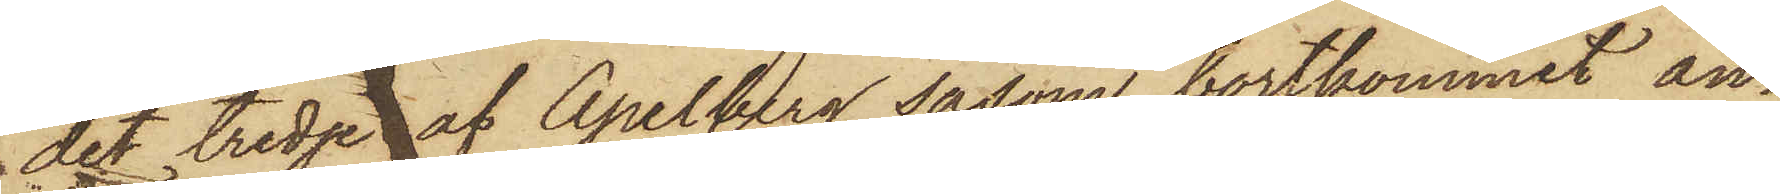det tredje af Apelberg såsom bortkommit an¬
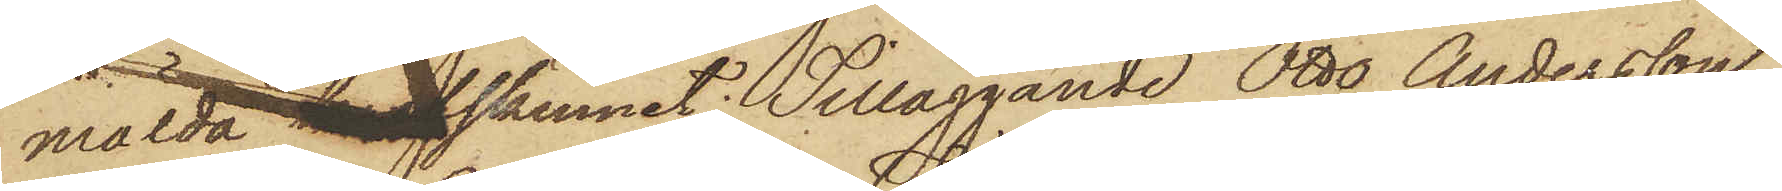mälda kalfskinnet; Tilläggande Otto Andersson,
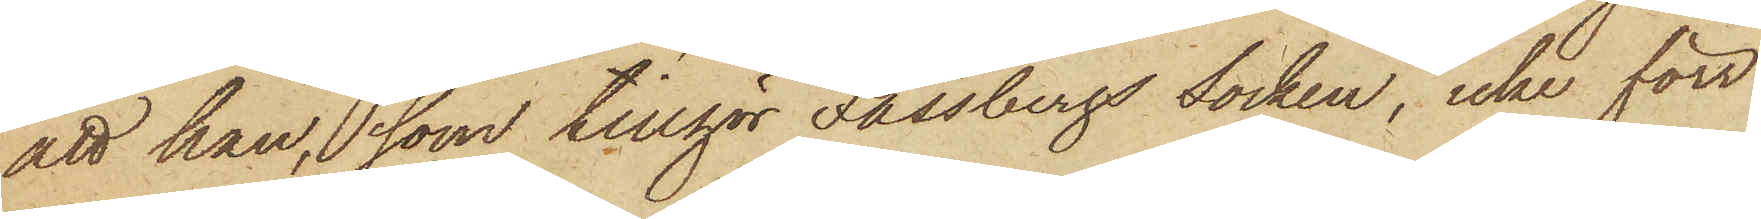att han, som tillgör Fässbergs Socken, icke förr
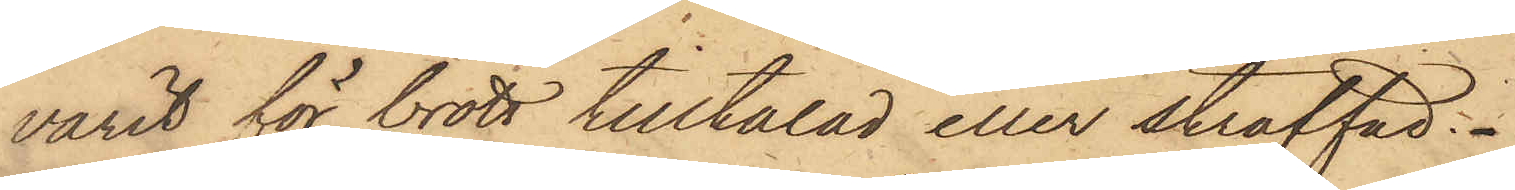varit för brott tilltalad eller straffad.
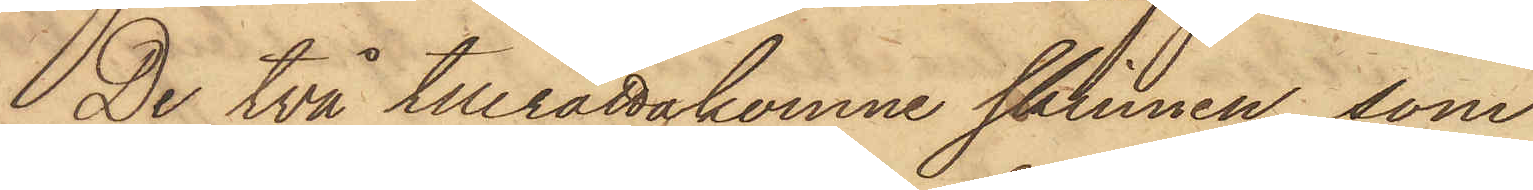De två tillrättakomne skinnen, som
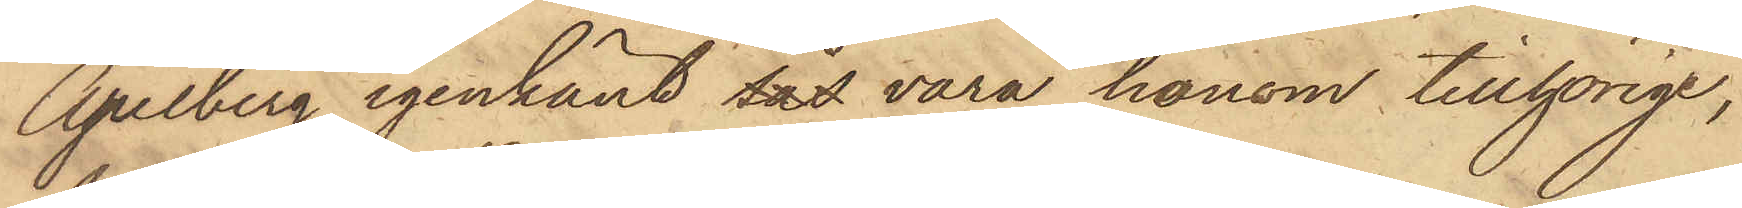Apelberg igenkänt sås vara honom tillhörige,
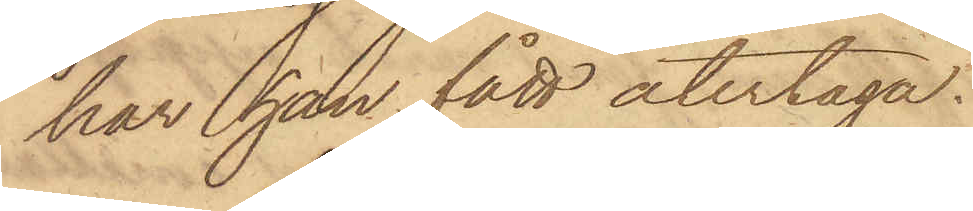har han fått återtaga.
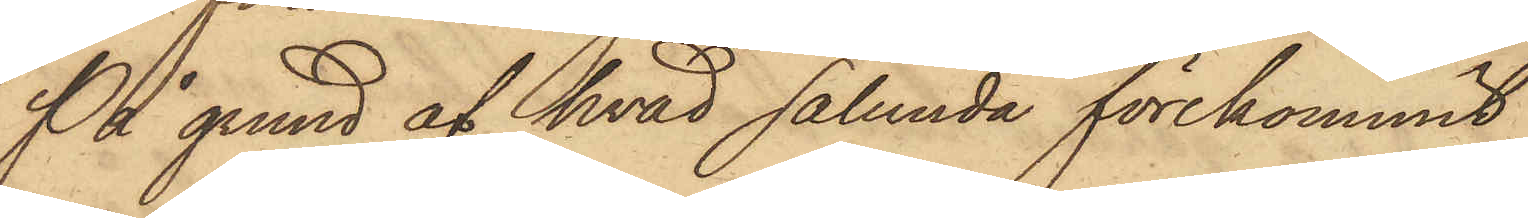På grund af hvad sålunda förekommit
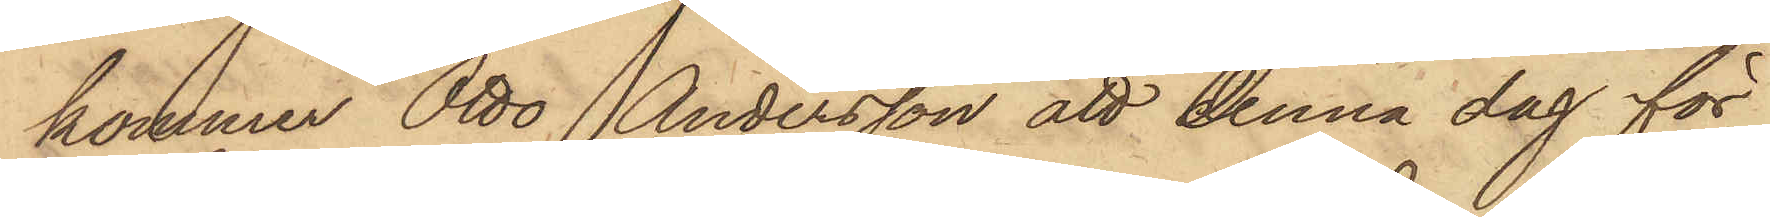kommer Otto Andersson att denna dag för
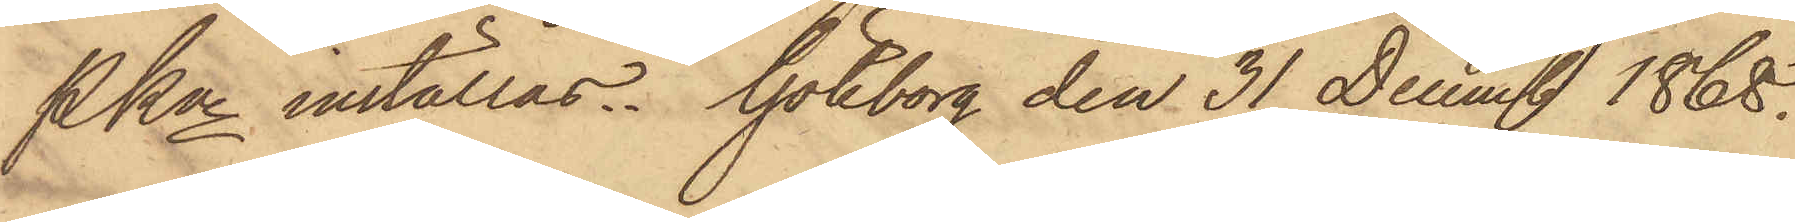PKn inställas. Göteborg den 31 Decemb 1868.
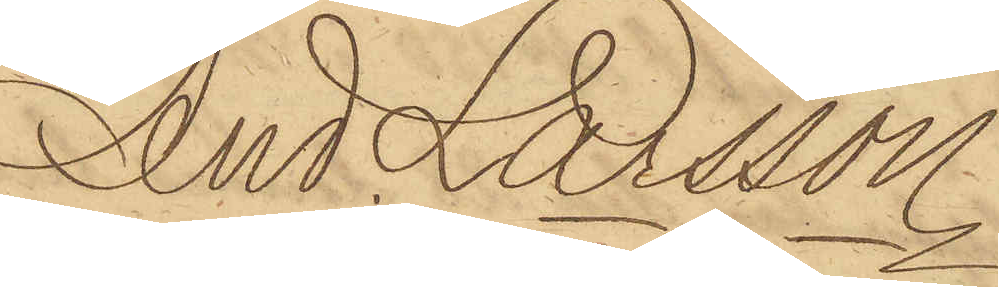And; Larsson.
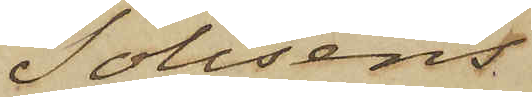Polisens
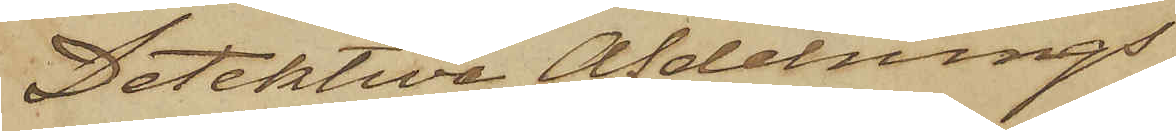Detektiva Afdelnings
